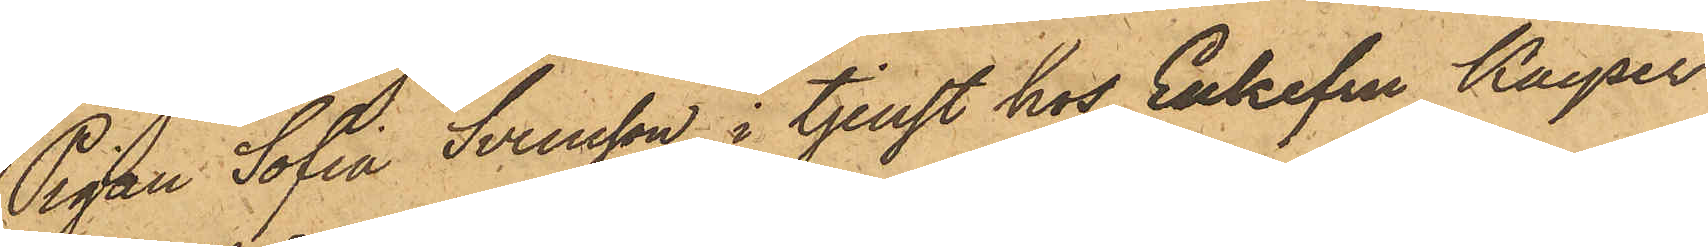Pigan Sofia Svensson i tjenst hos Enkefru Kayser
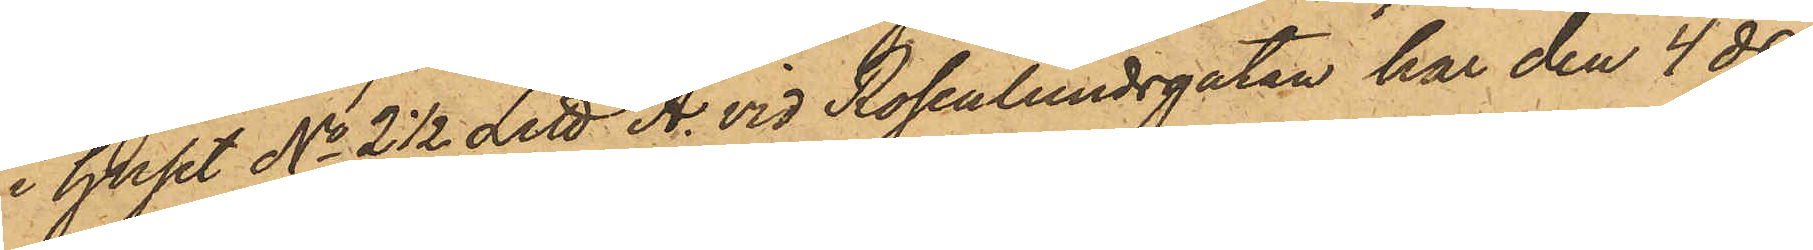i huset No 2½ Litt A. vid Rosenlundsgatan har den 4 ds
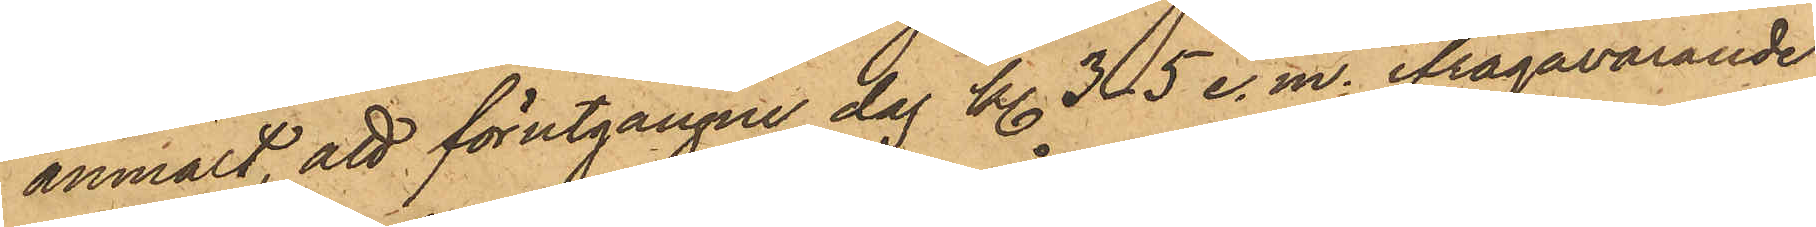anmält, att förutgångne dag kl. 3-5 e.m. ifrågavarande
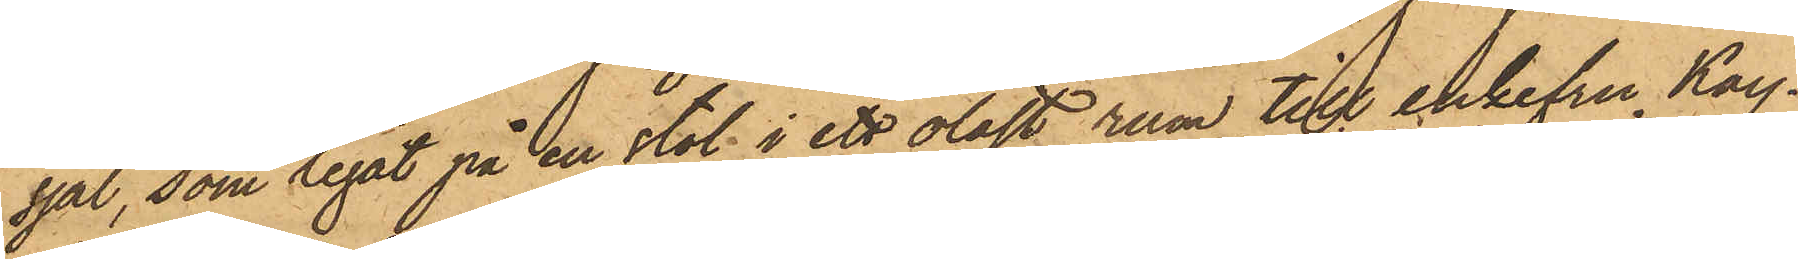sjal, som legat på en stol i ett olåst rum till enkefru Kay¬
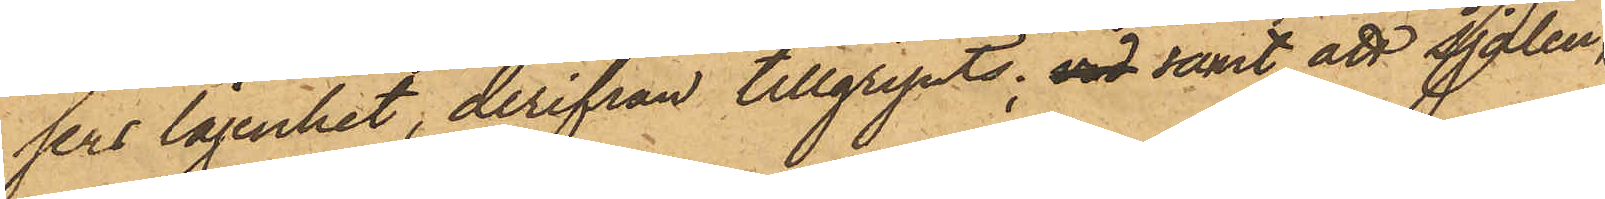sers lägenhet, derifrån tillgripits, vid samt att sjalen,
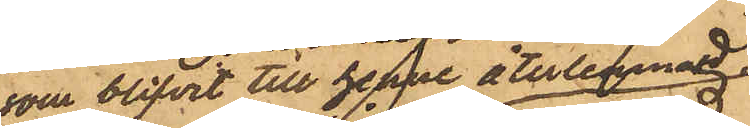som blifvit till henne återlemmad,
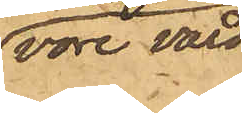vore värd
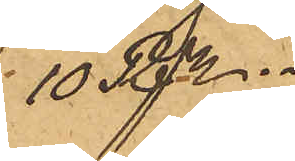10 rdr.
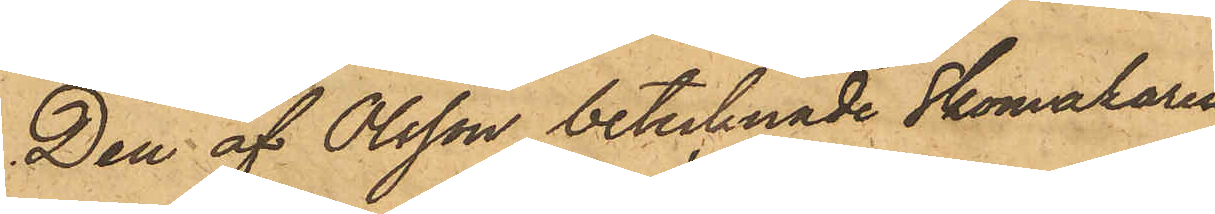Den af Olsson betecknade Skomakaren
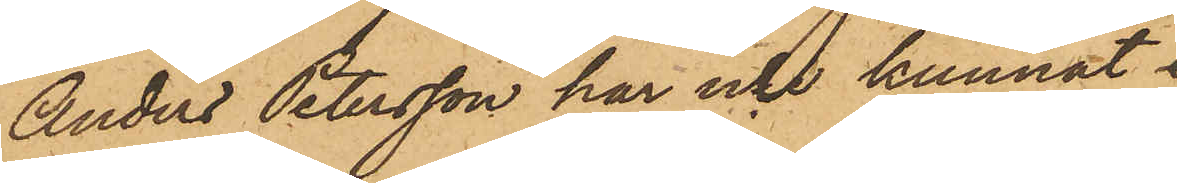Anders Petersson har icke kunnat
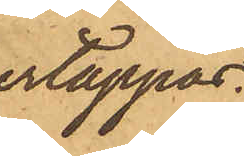ertappas.
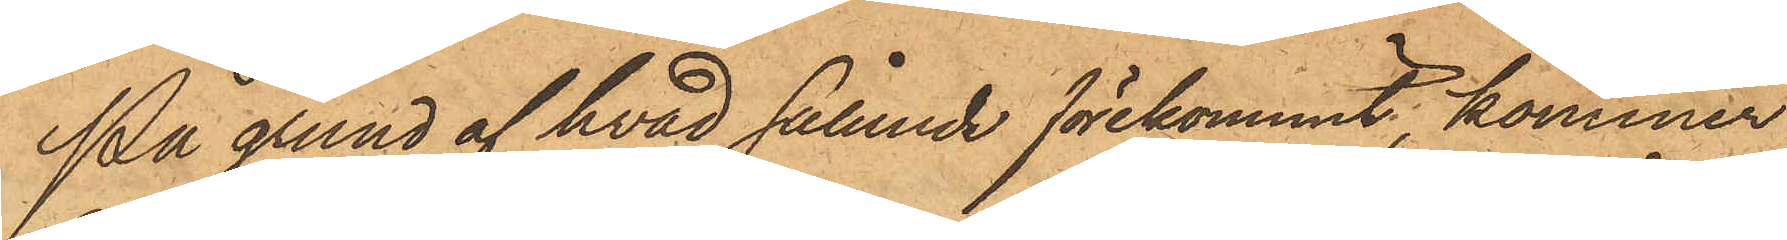På grund af hvad sålunda förekommit, kommer
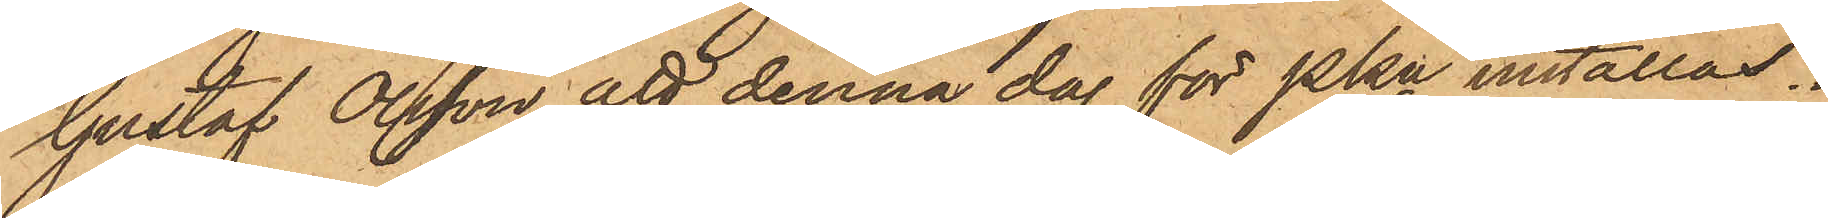Gustaf Olsson att denna dag för PKn inställas.
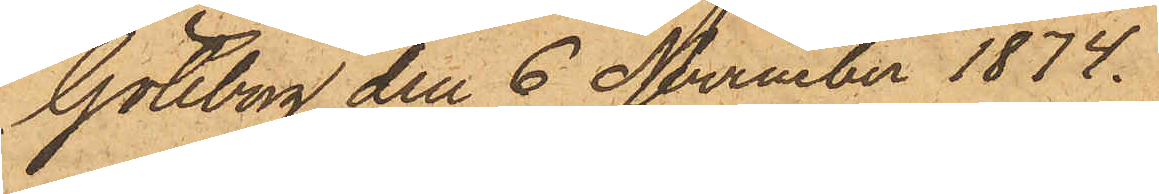Göteborg den 6 November 1874.
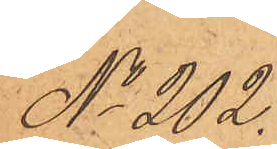No 202.
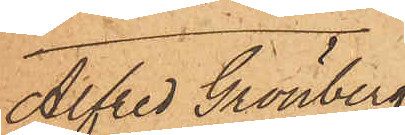Alfred Grönberg
